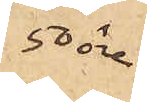50 öre
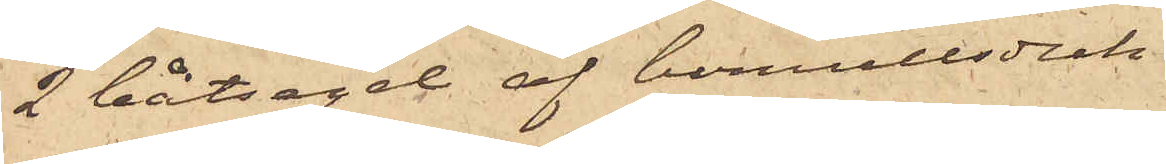2 båtsegel af bomullsduk
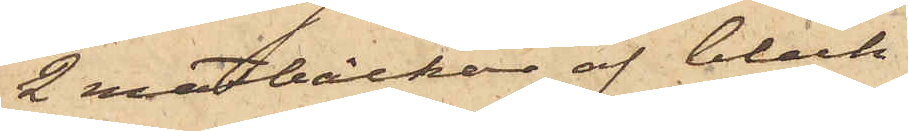2 matbäcken af bleck
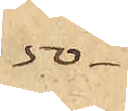-50 
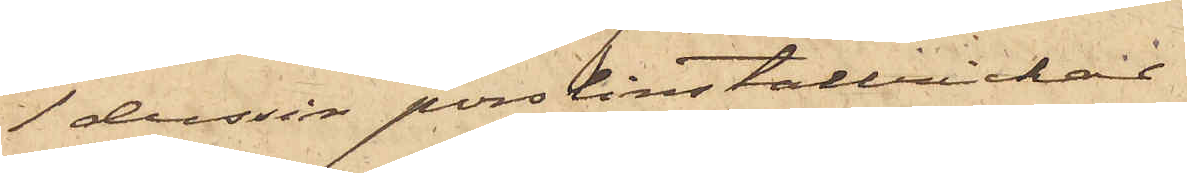1 dussin porslinstallrickar
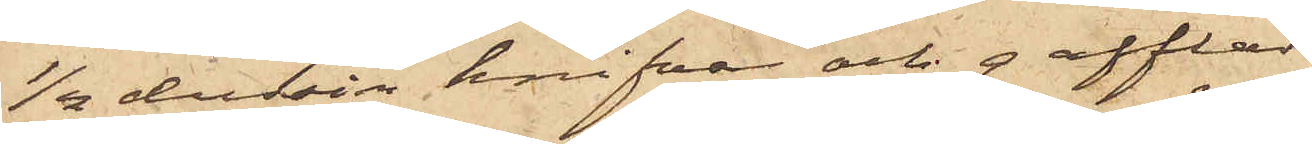½ dussin knifvar och gafflar
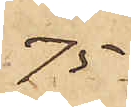75
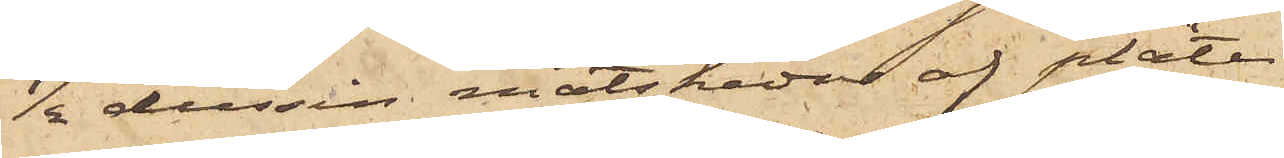½ dussin matskedar af pläter
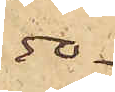50
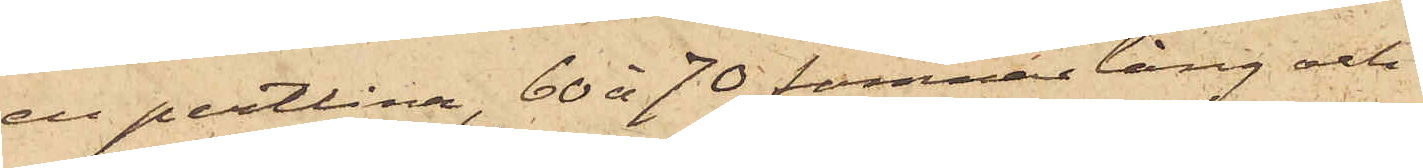en pertlina, 60 à 70 famnar lång och
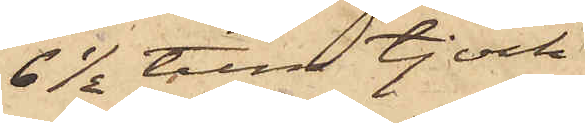6½ tum tjock
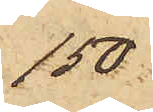150
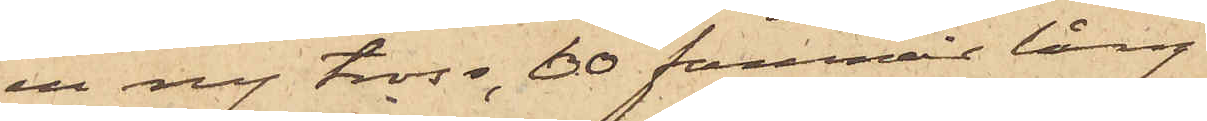en ny tross, 60 famnar lång
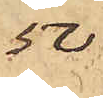50
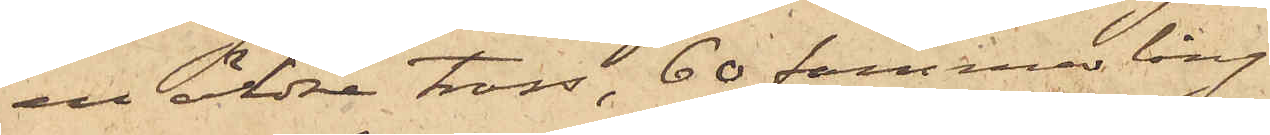en äldre tross, 60 famnar lång
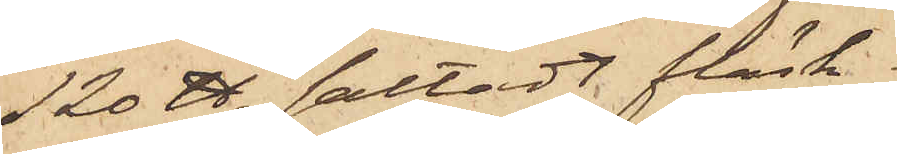120 ℔ saltadt fläsk
